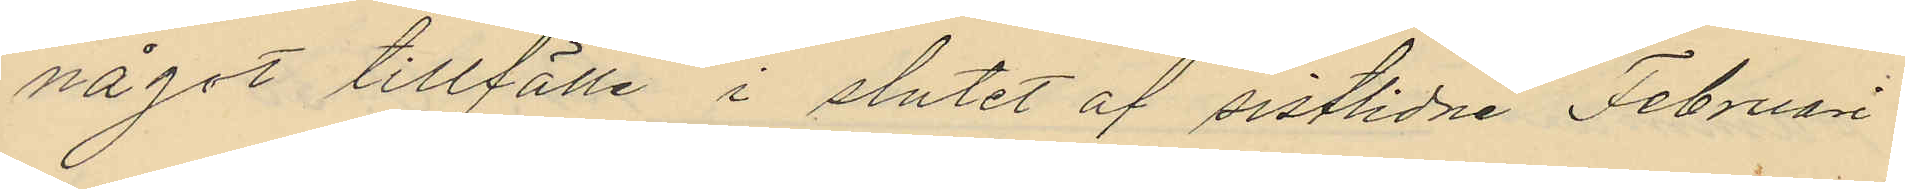något tillfälle i slutet af sistlidne Februari
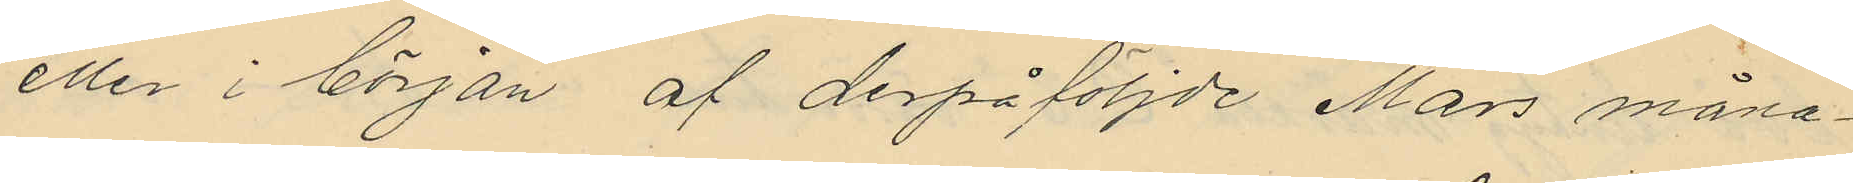eller i början af derpåföljde Mars måna¬
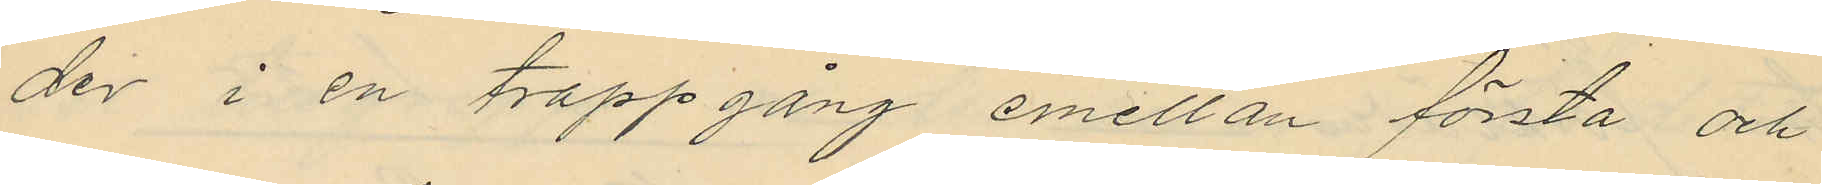der i en trappgång emellan första och
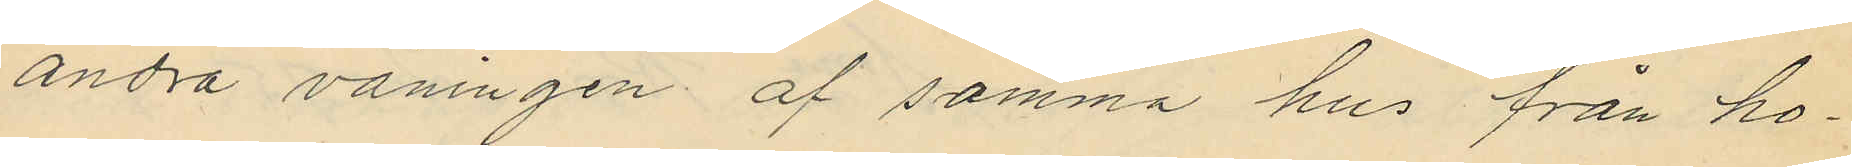andra våningen af samma hus från ho¬
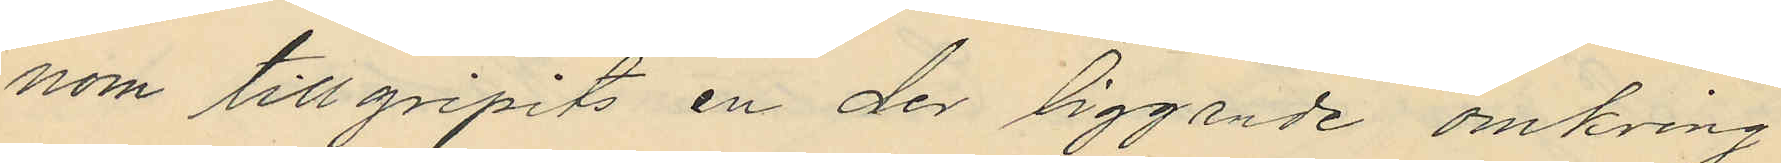nom tillgripits en der liggande omkring
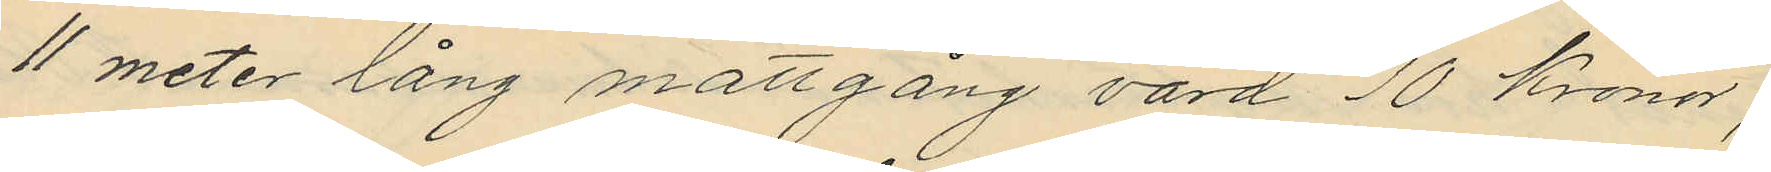11 meter lång mattgång värd 10 Kronor;
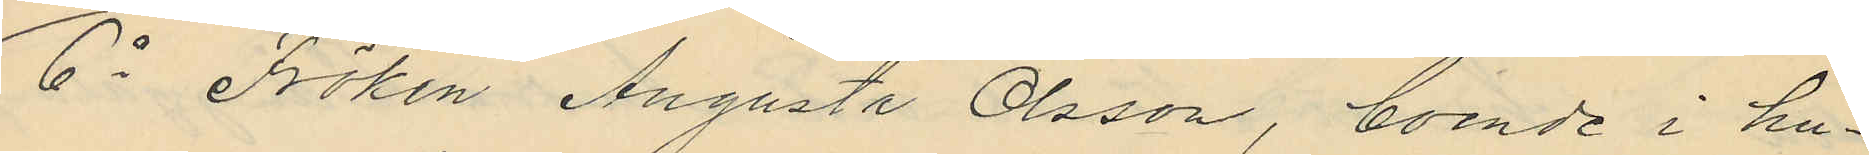6o Fröken Augusta Olsson, boende i hu¬
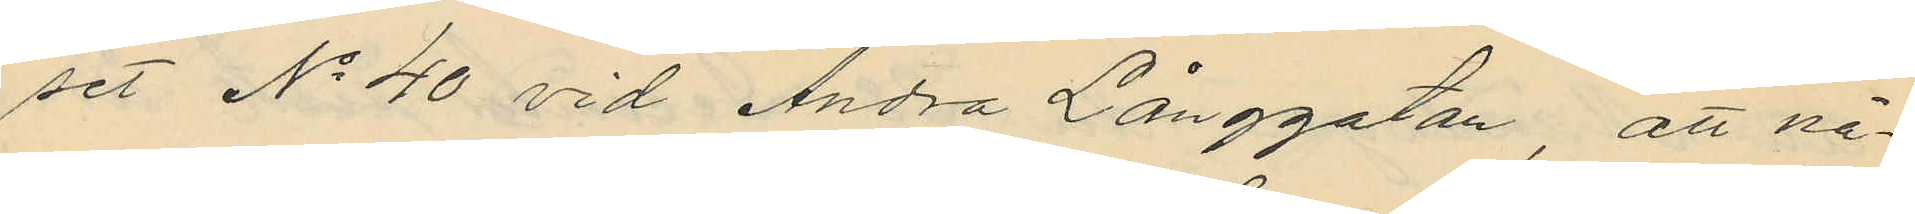set No 40 vid Andra Långgatan, att nå¬
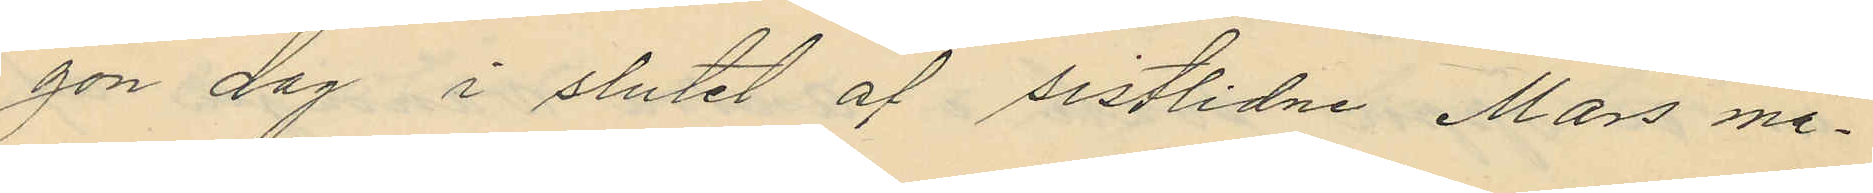gon dag i slutet af sistlidne Mars må¬
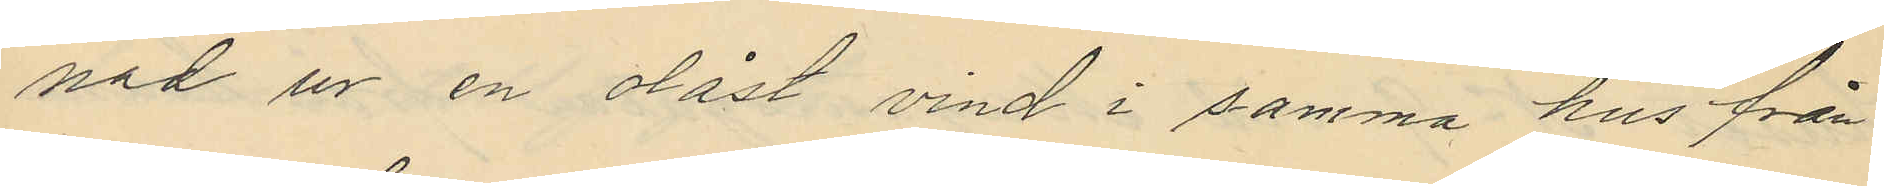nad ur en olåst vind i samma hus från
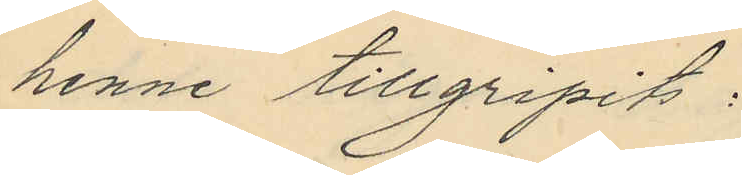henne tillgripits:
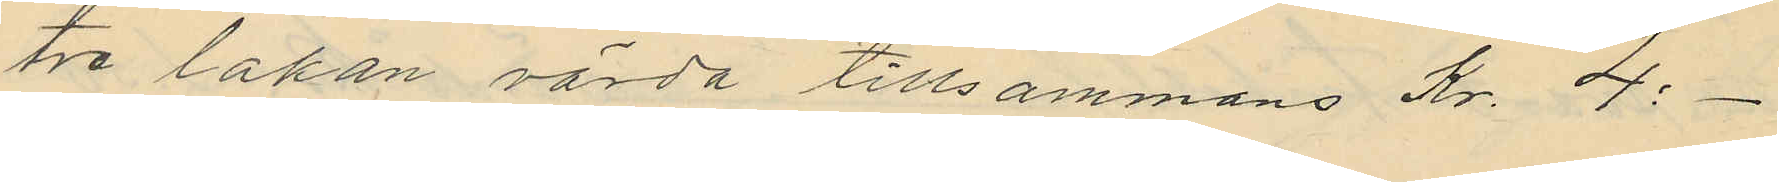tre lakan värda tillsammans Kr. 4:-
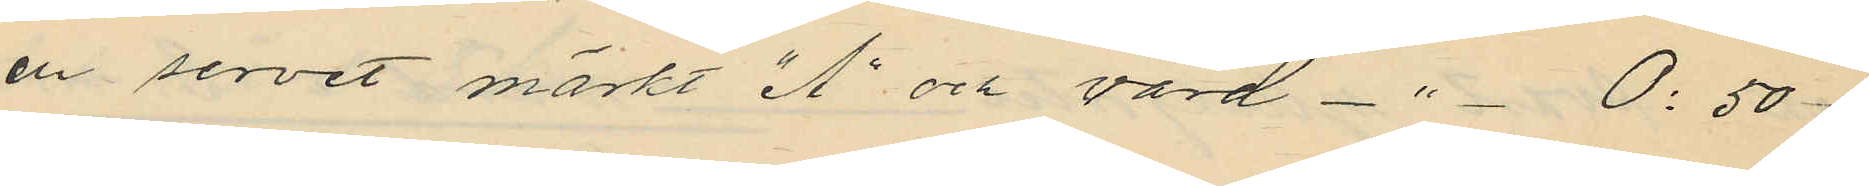en servet märkt "A" och värd - " - 0:50
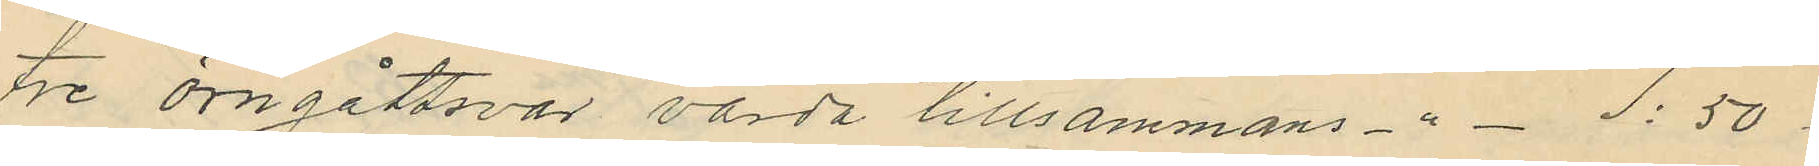tre örngåttsvar värda tillsammans - " - 1:50
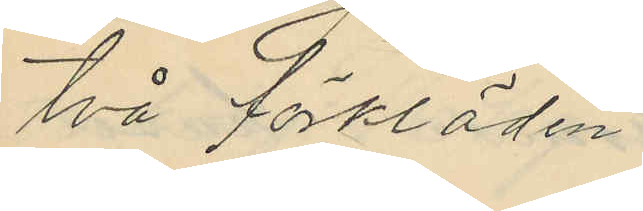två förkläden
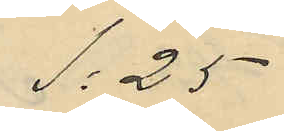1:25
